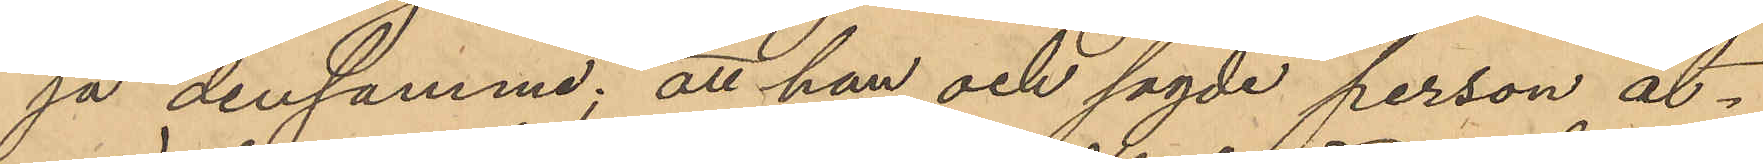ja densamma; att han och sagde person åt¬
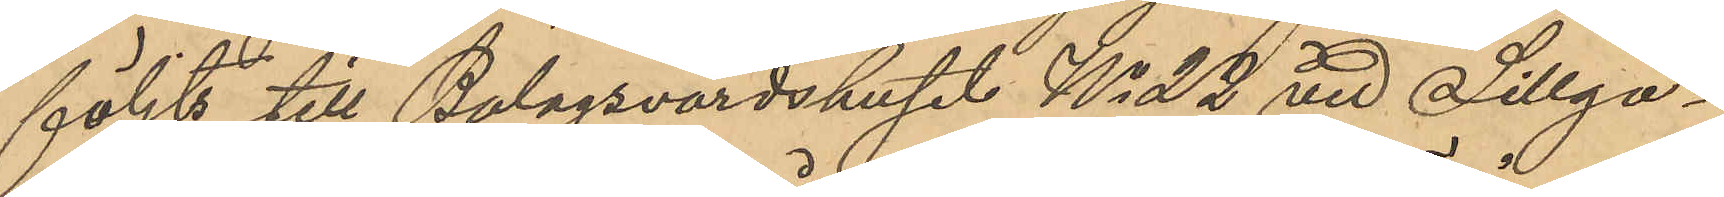följts till Bolagsvärdshuset No 22 vid Sillga¬
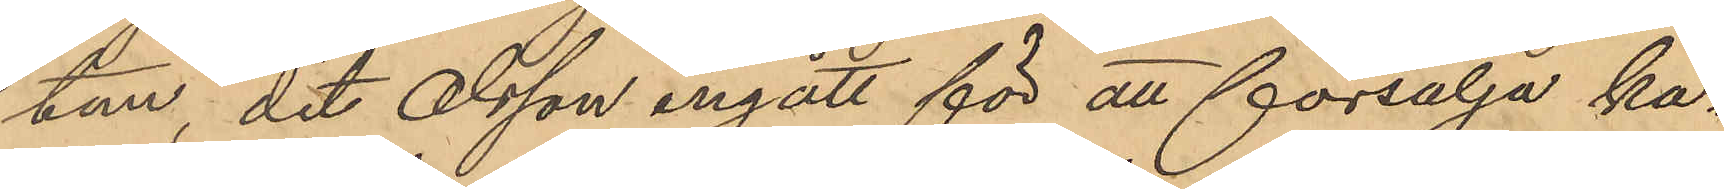tan, dit Olsson ingått för att försälja ka¬
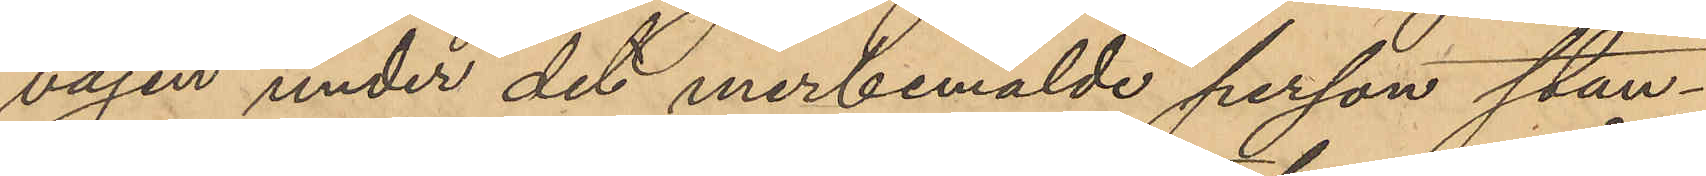vajen under det merbemälde person stan¬
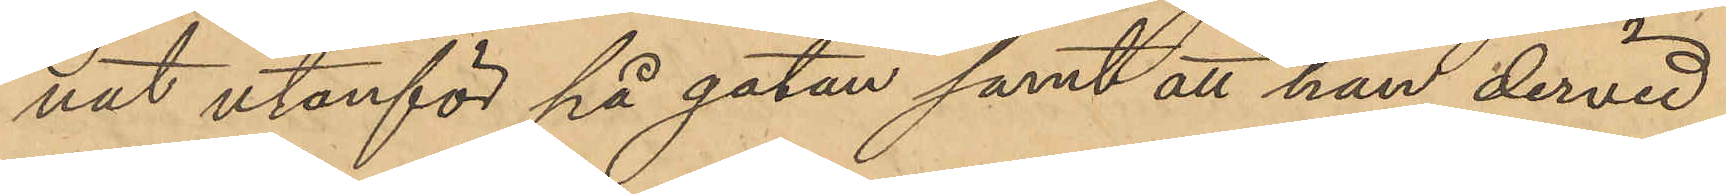nat utanför på gatan samt att han dervid
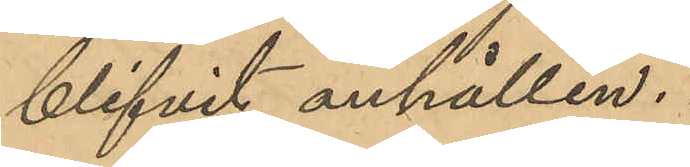blifvit anhållen.
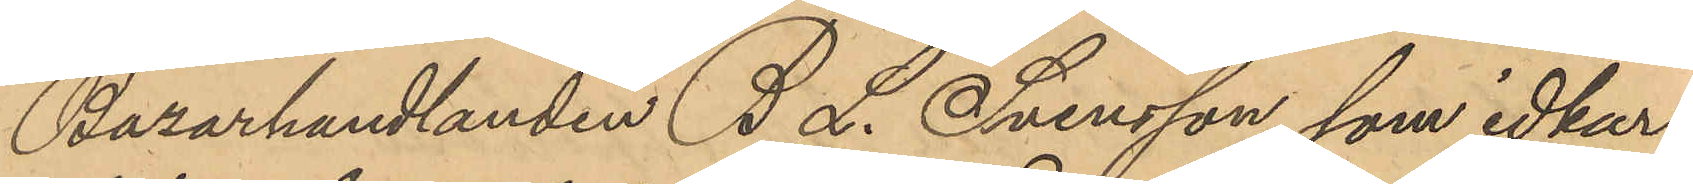Bazarhandlanden B. L. Svensson, som idkar
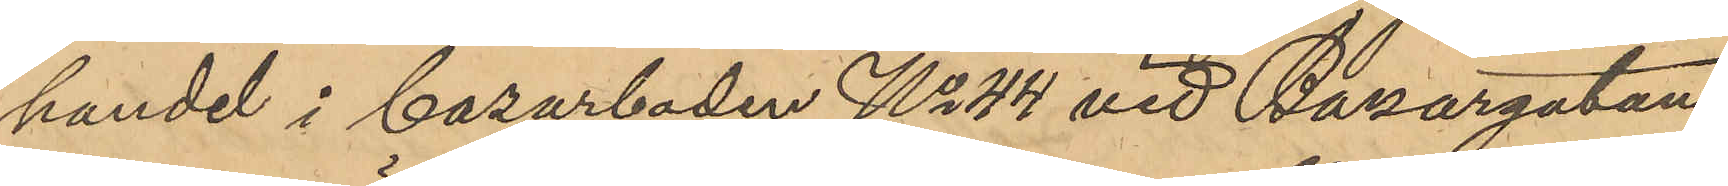handel i bazarboden No 44 vid Bazargatan
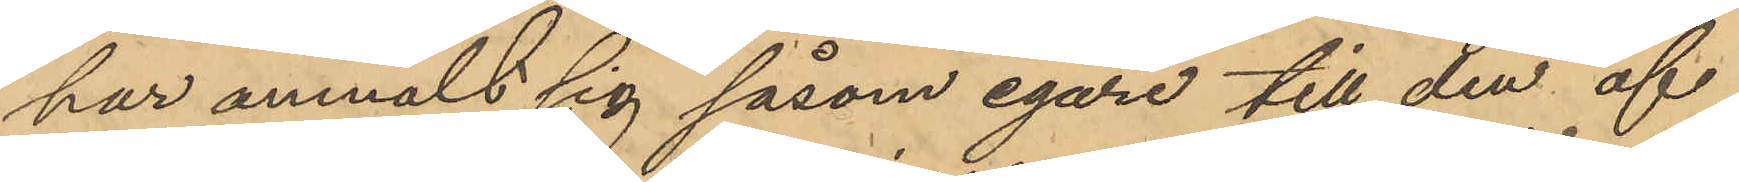har anmält sig såsom egare till den af
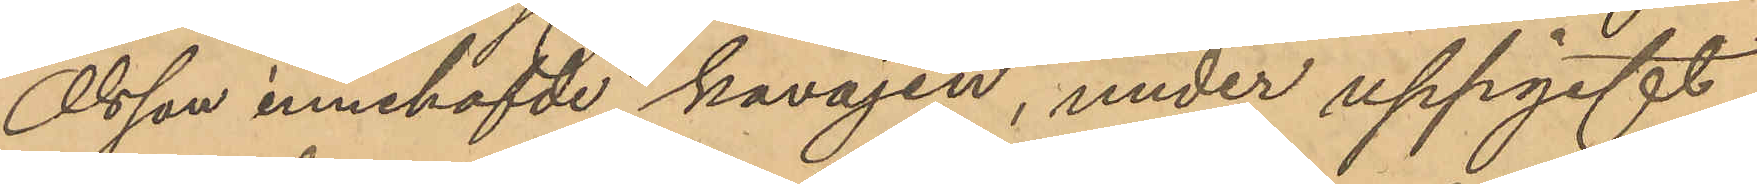Olsson innehafvde kavajen, under uppgift
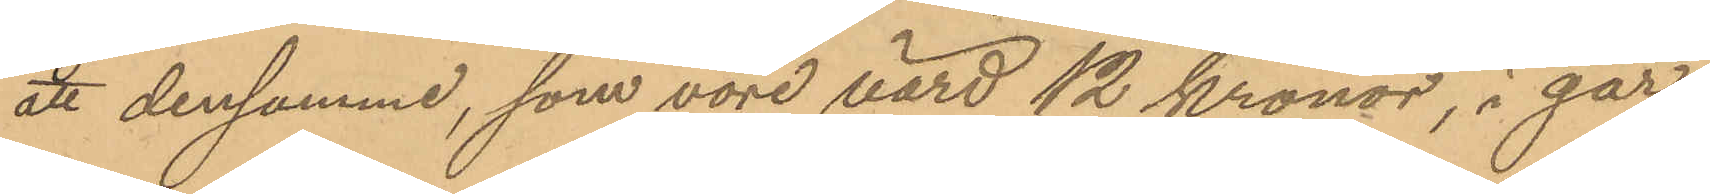att densamme, som vore värd 12 kronor, i går 
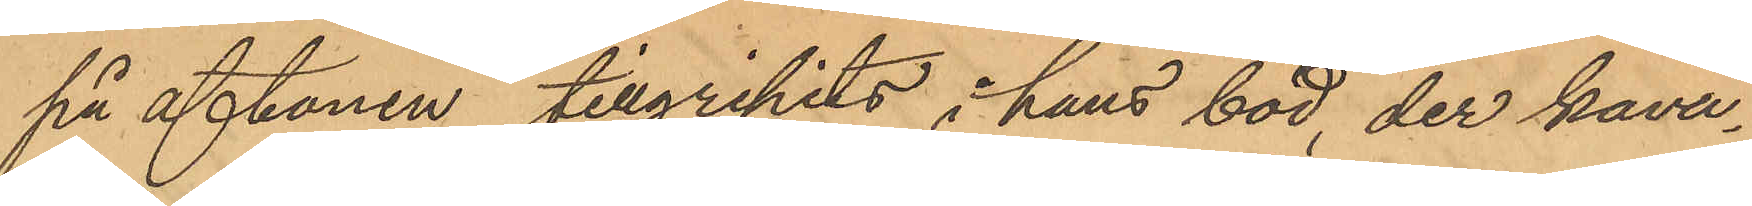på aftonen tillgripits i hans bod, der kava¬
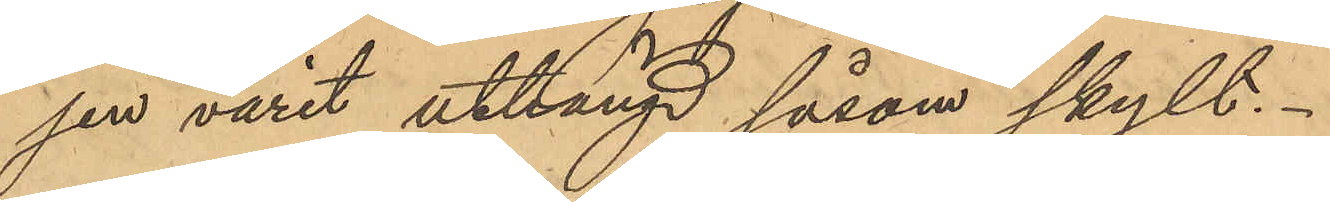jen varit uthängd såsom skylt.
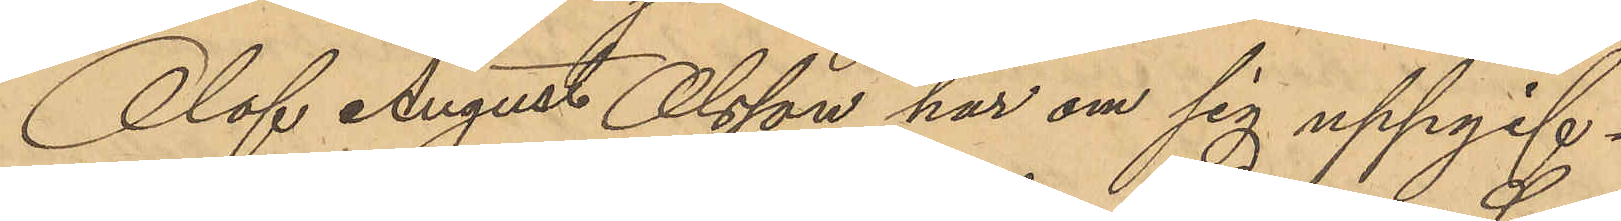Olof August Olsson har om sig uppgif¬
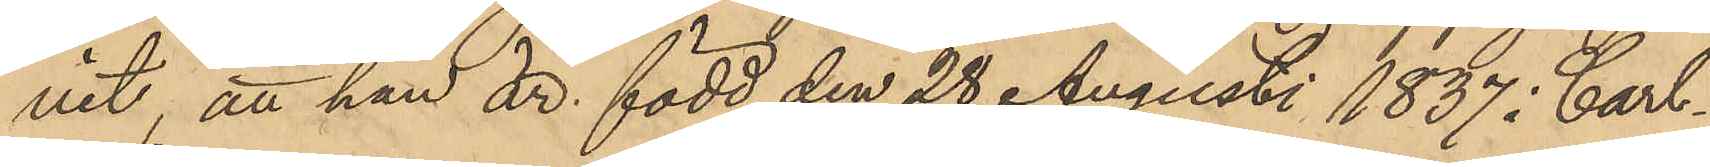vit att han är född den 28 Augusti 1837 i Carl¬
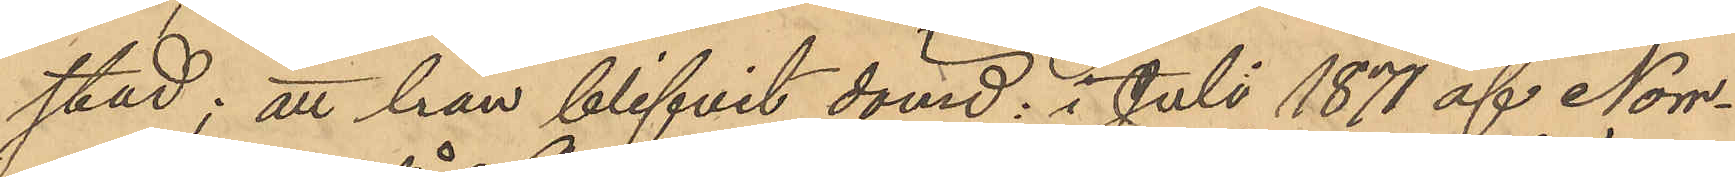stad; att han blifvit dömd: i Juli 1871 af Norr¬
